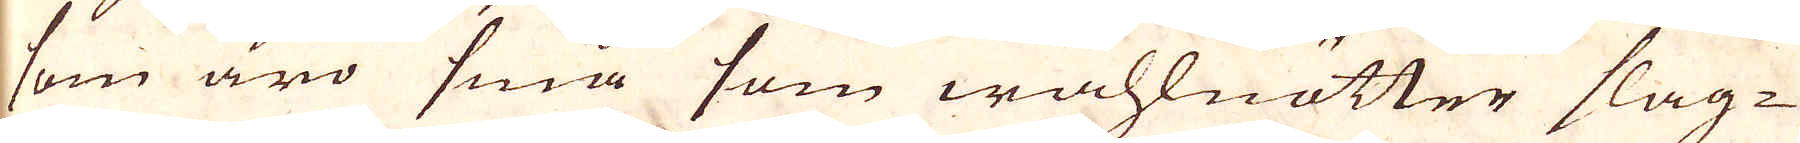som äro små som wallnötter slag-
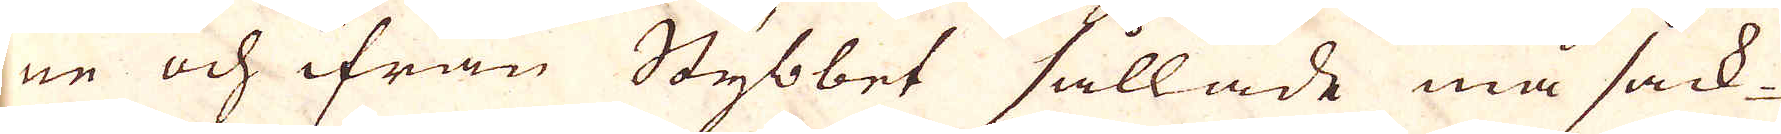ne och ifrån Stybbet sållade må sack-
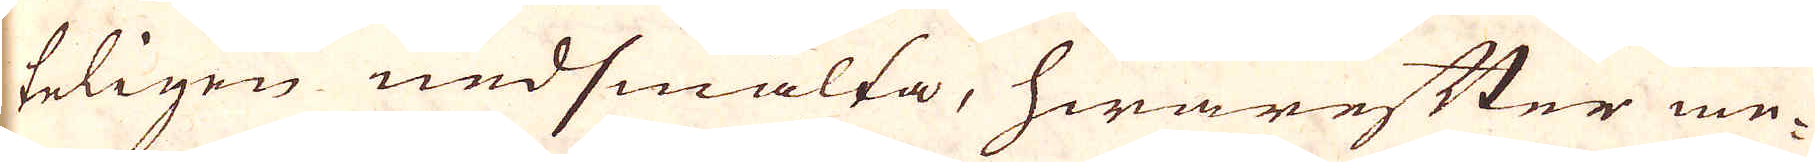teligen undsmälta, hwarefter me-
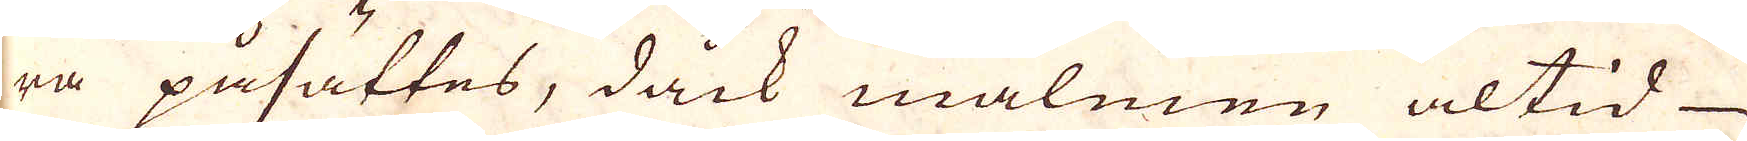ra påsättes, dåck malmen altid
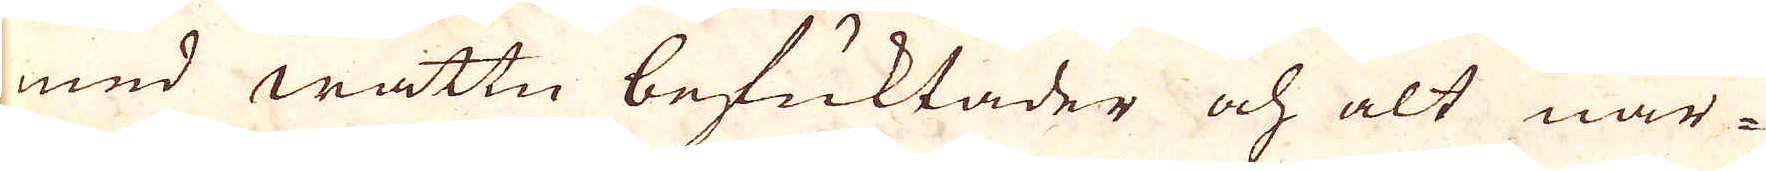med wattn befuktader och alt när-
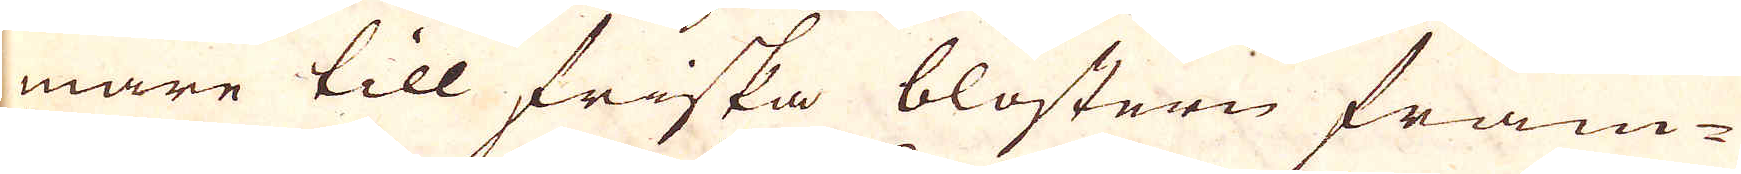mare till friska blostern fram-
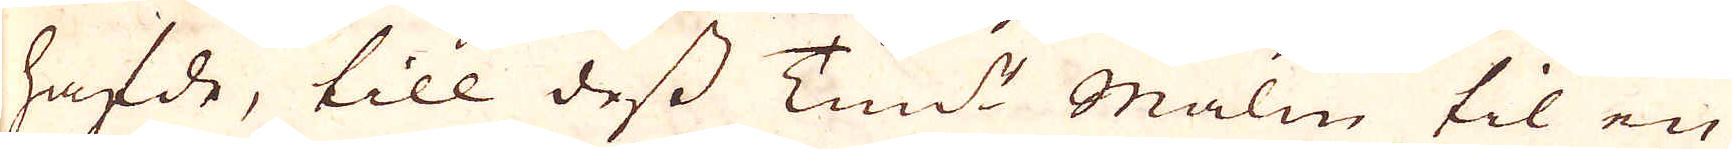hafde, till dess Tundt Malm til en
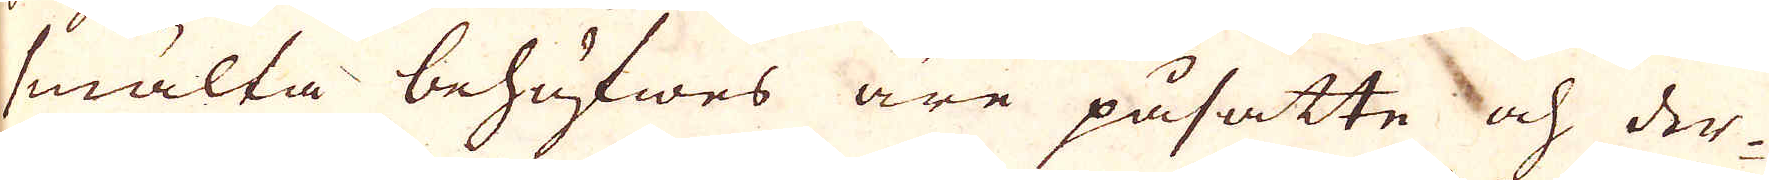smälta behöfwes äre påsatte och der-
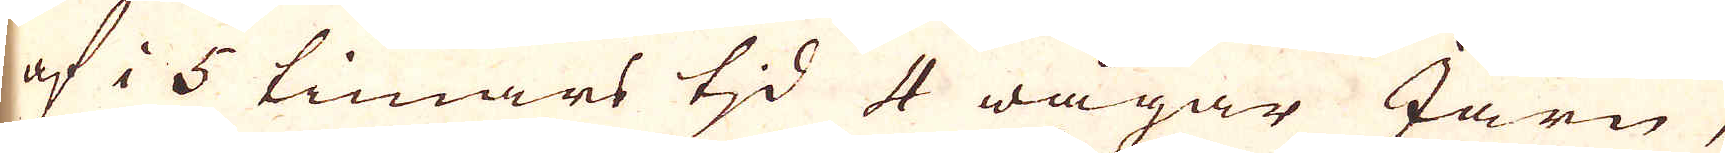af i 5 timars tjd 4 wågar Järn,
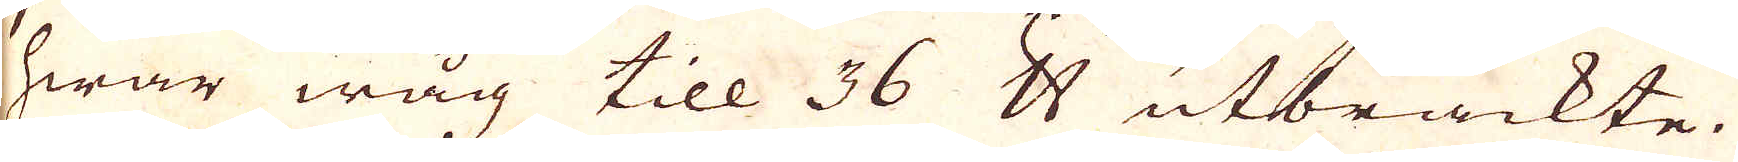hwar wåg till 36 skålpund utbräckte.
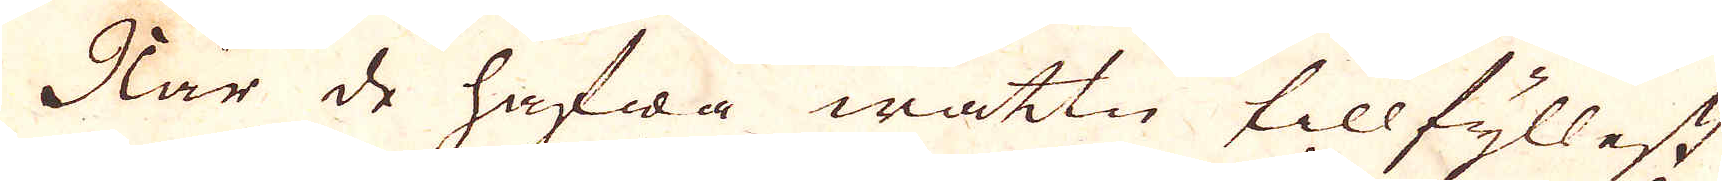När de hafwa wattn tillfyllest
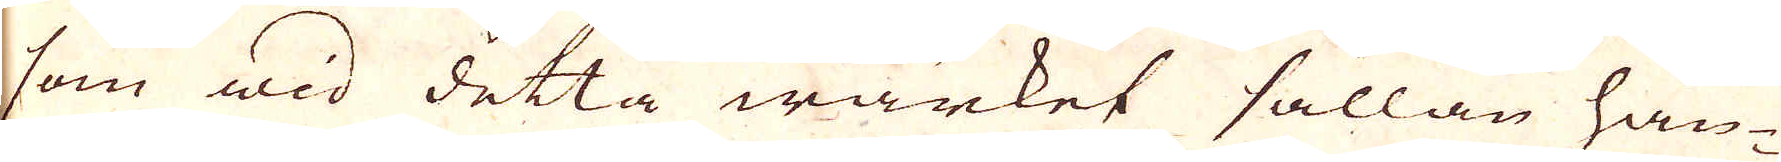som wid detta wärket sällan hän-
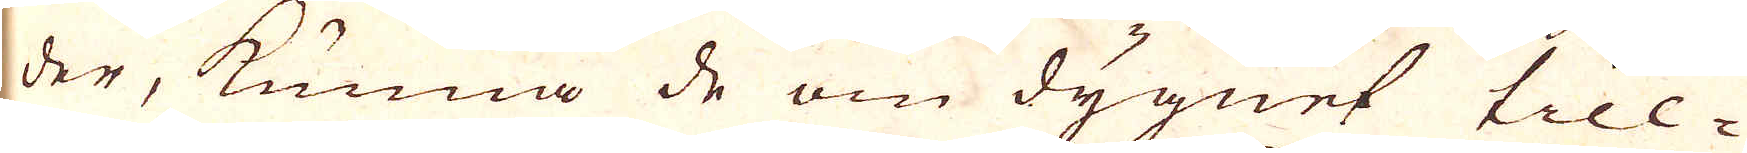der, kunna de om dygnet till-
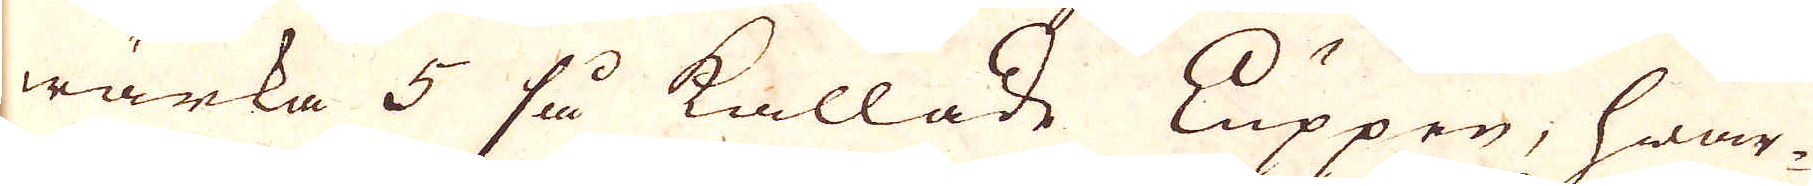wärka 5 så kallade Luppen, hwar-
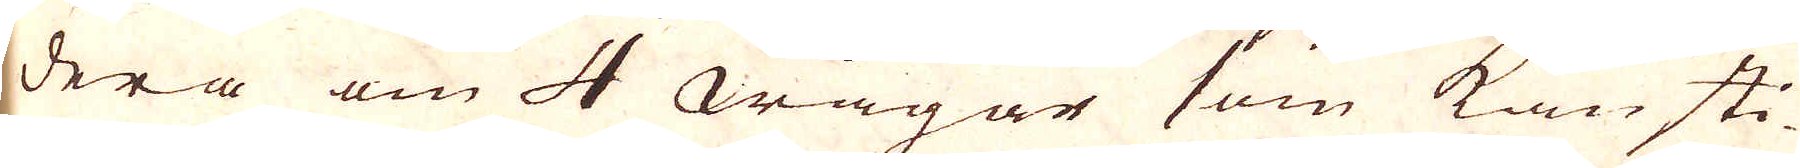dera om 4 wågar som kan sti-
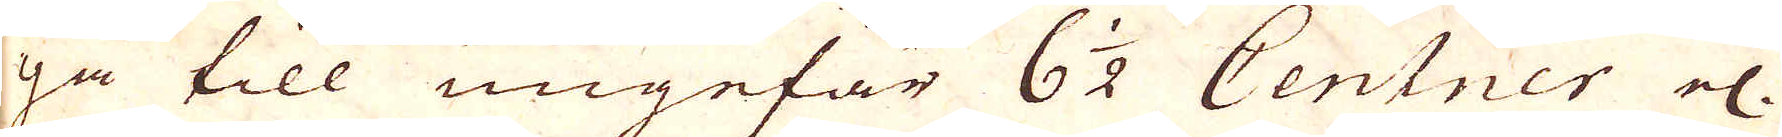ga till ungefär 6 1/2 Centner el:r
